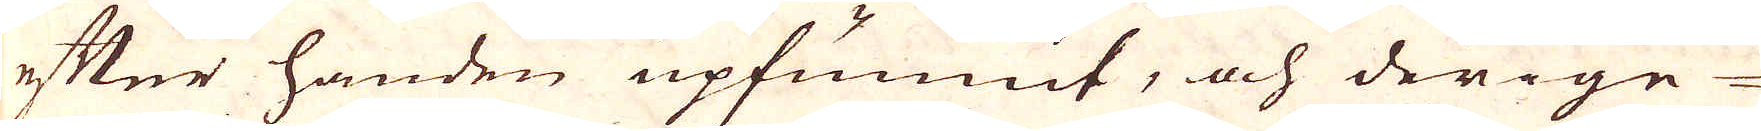efter handen upfunnit, och derige-
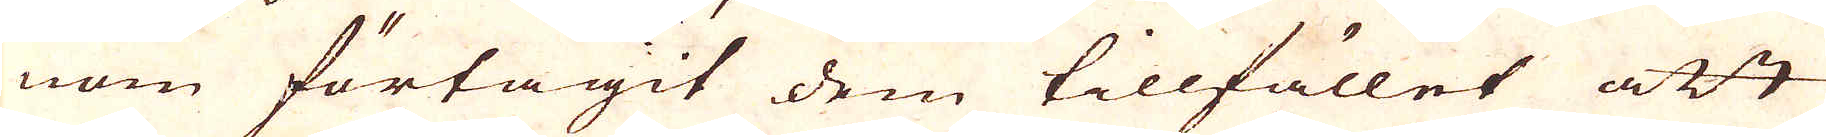nom förtagit dem tillfället att
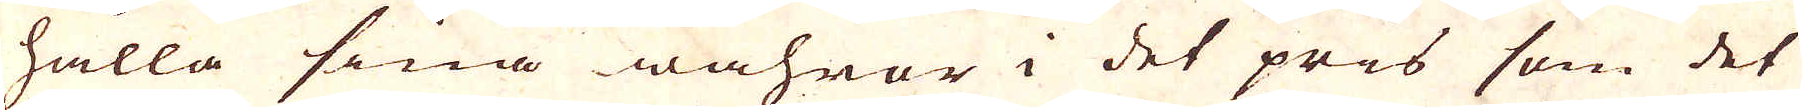hålla sina wahror i det pris som det
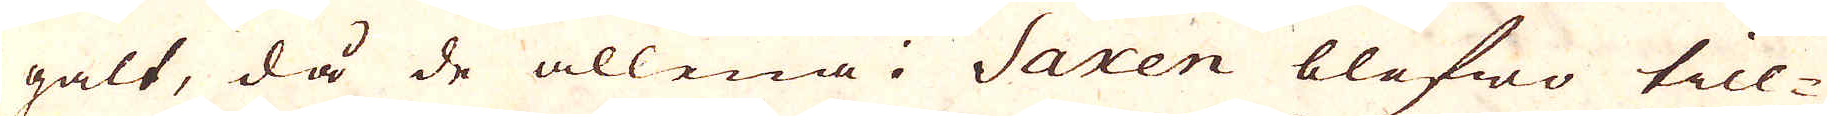galt, då de allena i Saxen blefwo till-
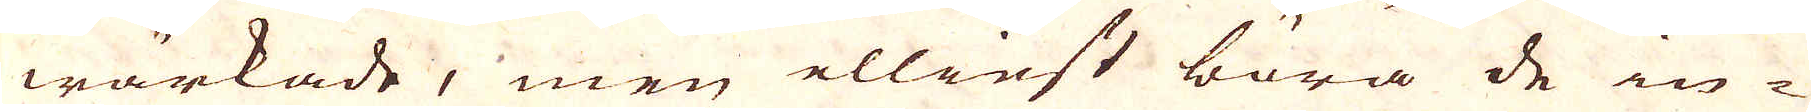wärkade, men ellinst böra de in-
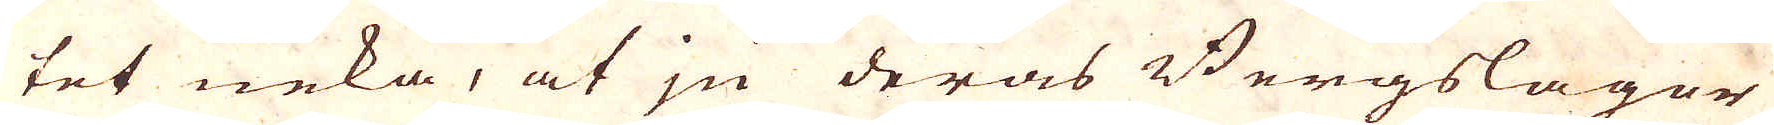tet neka, at ju deras Bergslager
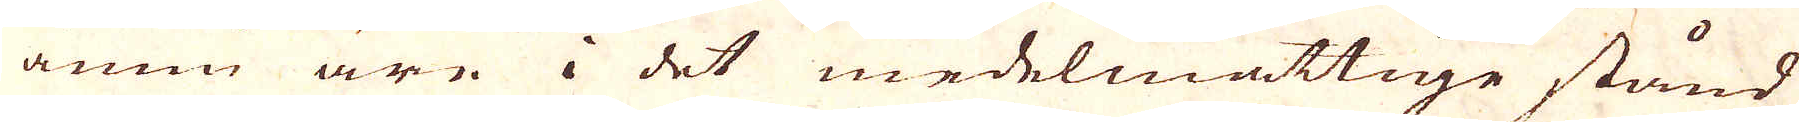ännn äre i det medelmåttige stånd
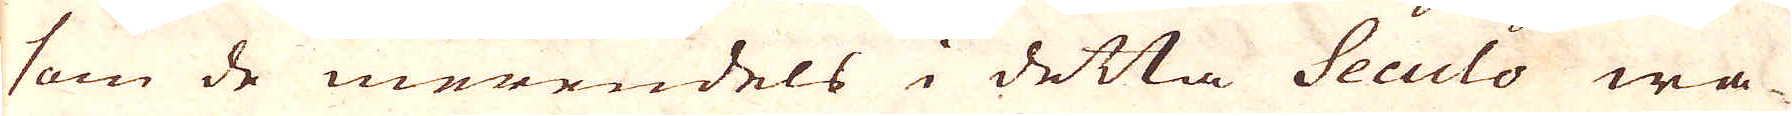som de merendels i detta Seculo wa-
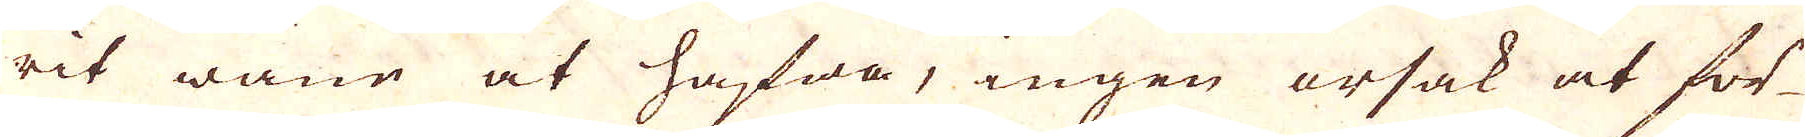rit wane at hafwa, ingen orsak at för-
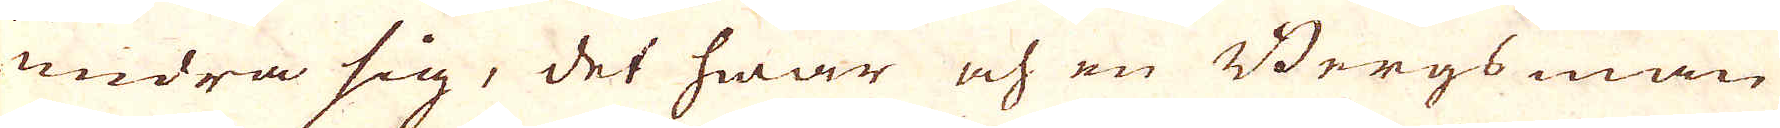undra sig, det hwar och en Bergsman
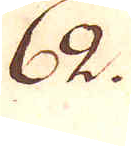62.
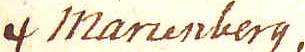† Marienberg,
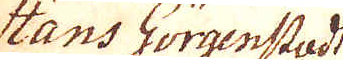Hans Görgenstadt
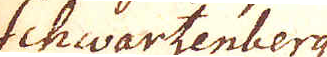Schwartzenberg
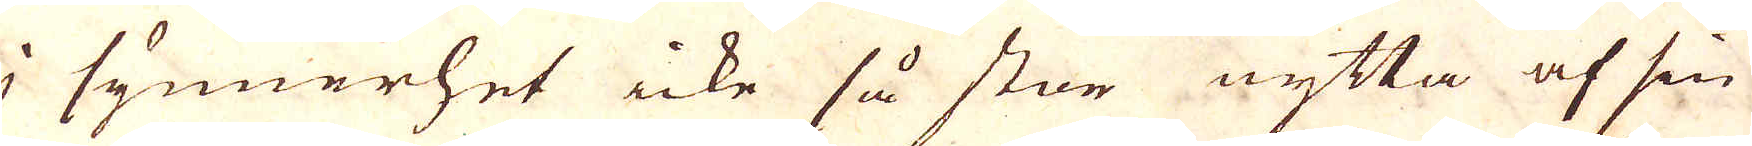i synnerhet icke så stor nytta af sin
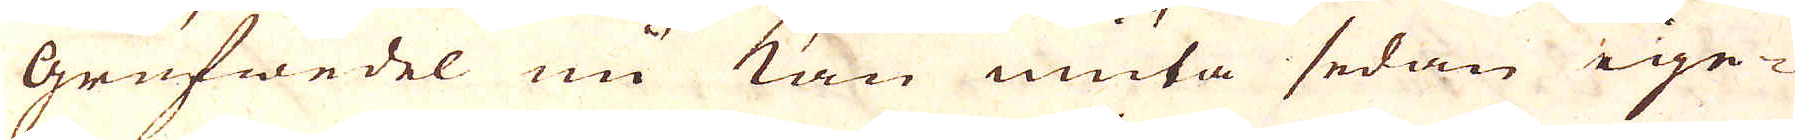grufwedel nu kan nuta sedan ige-
